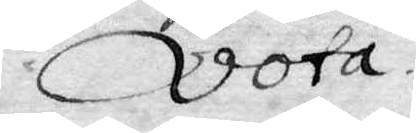Vota.
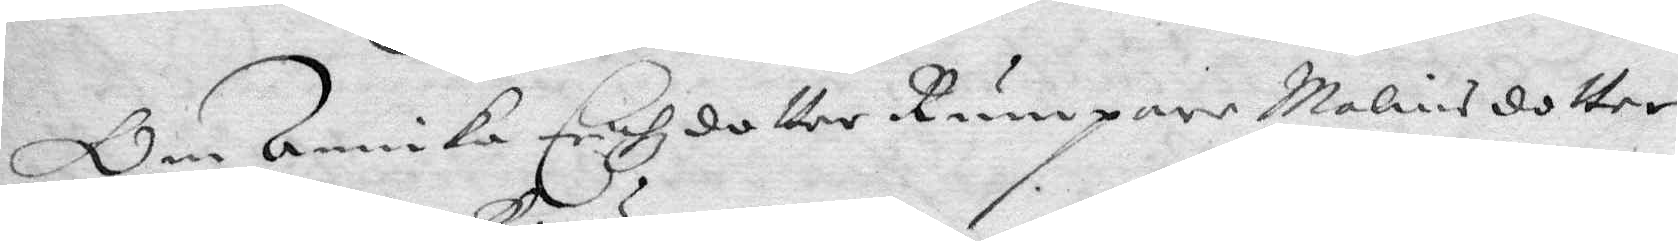Om Annika Erichzdotter Rumpare Malins dotter
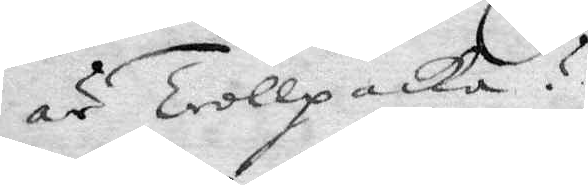är Trollpacka?
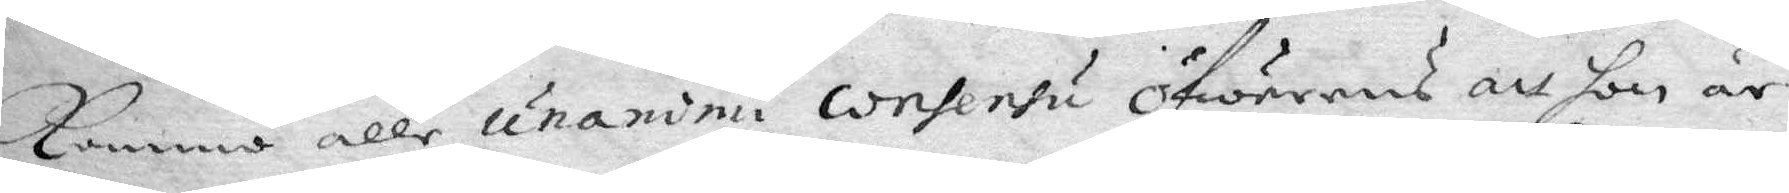Kommo alle unandni consensu öfwerens att hon är
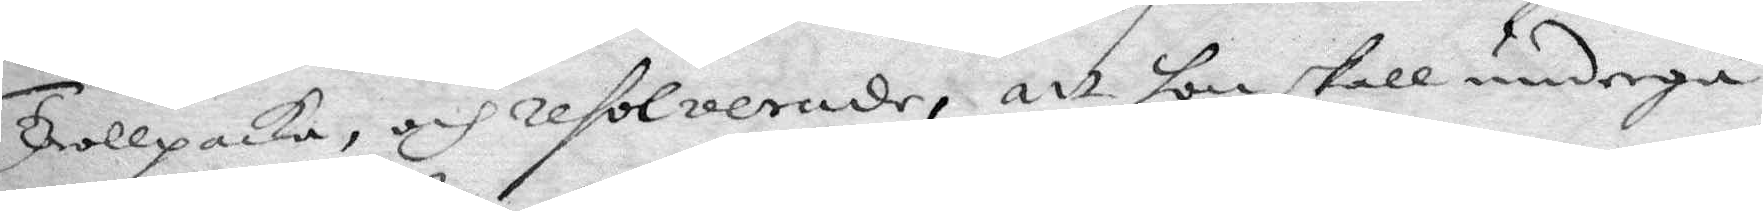Trollpacka, och resolverade, att hon skall undergå
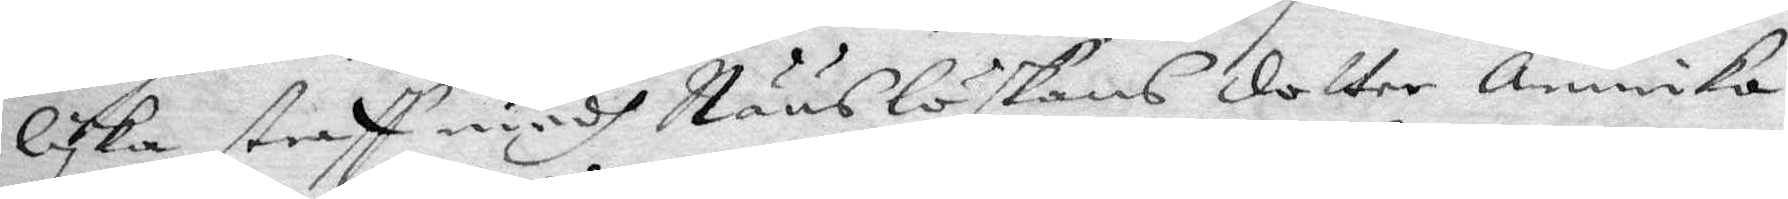lyka straff medh Nääslöskans dotter Annika
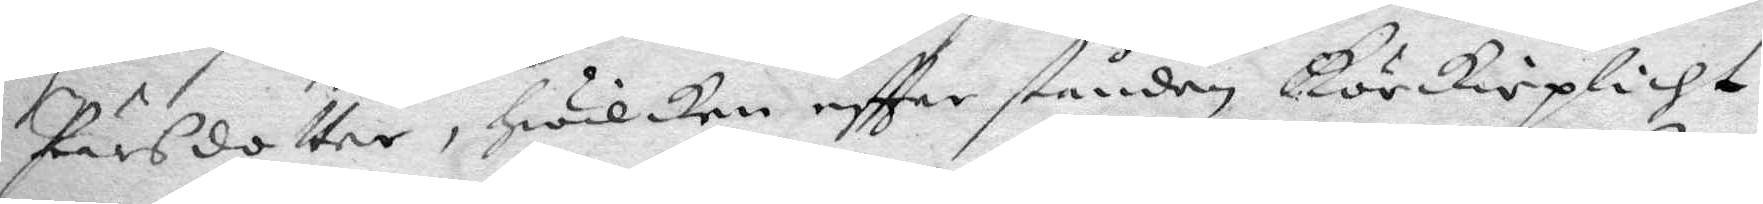Pärsdotter, Hwilken eftter stånden Körkioplicht
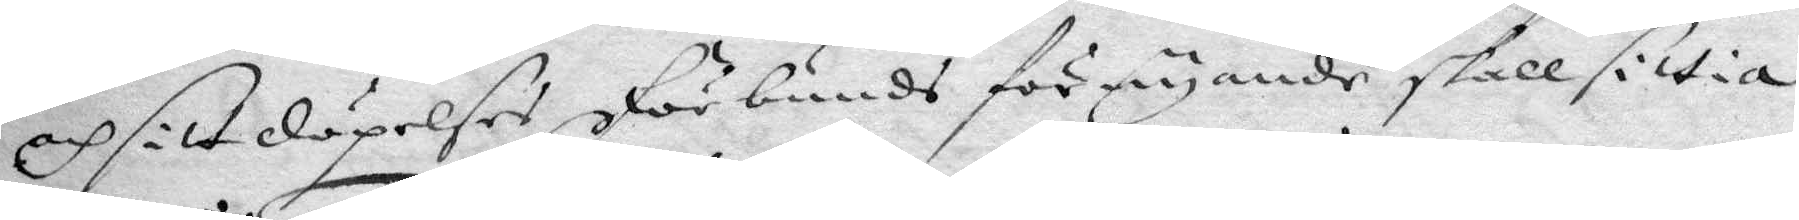och sitt döpelses Förbunds förnyande skall sittia
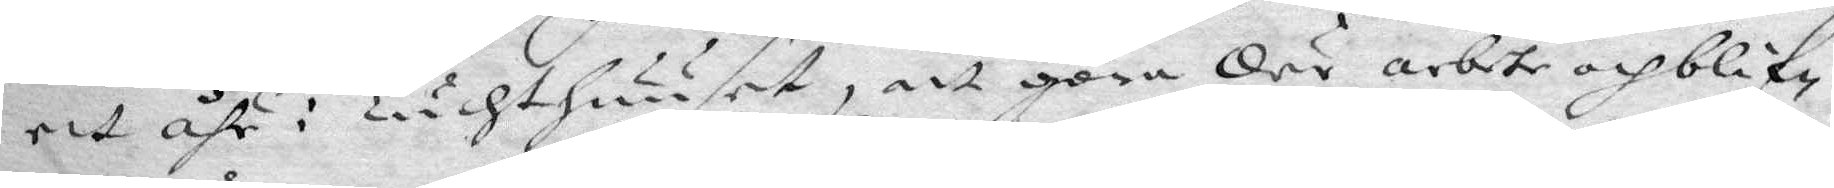ett åhr i Tuchthuuset, att göra der arbete och blif¬
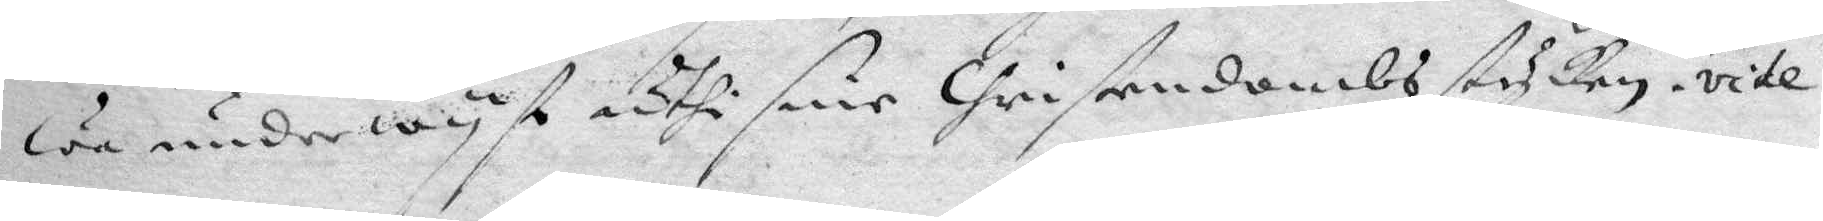wa underwyst uthi sine Christendombsstycken, vite
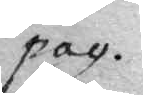pag.
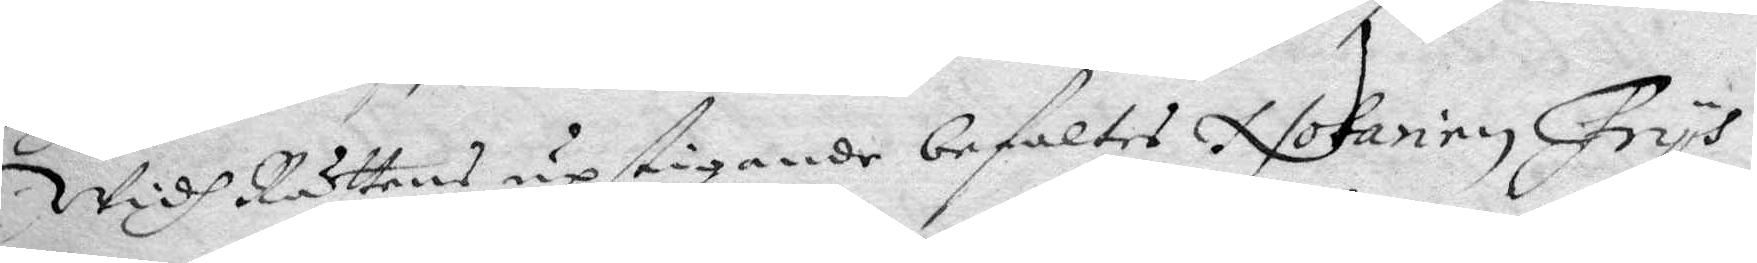Widh Rättens upstigande befaltes Notarien Frys
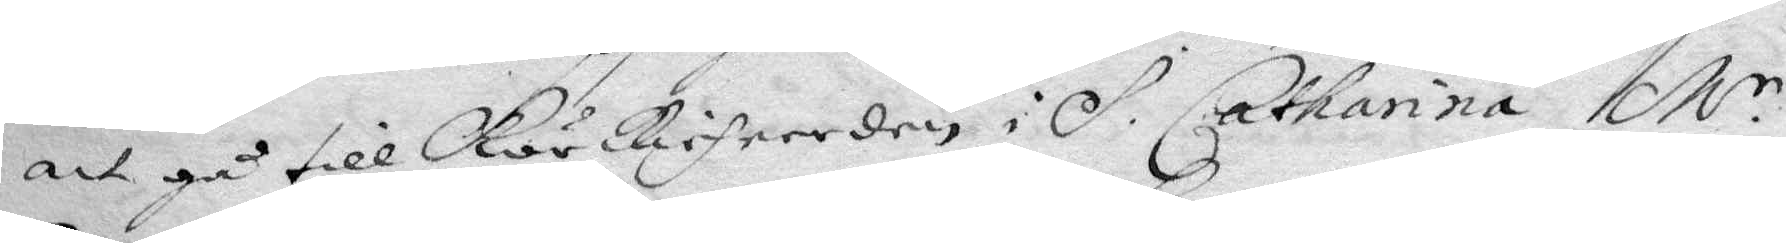att gå till Körkieheerden i S. Catharina M.r
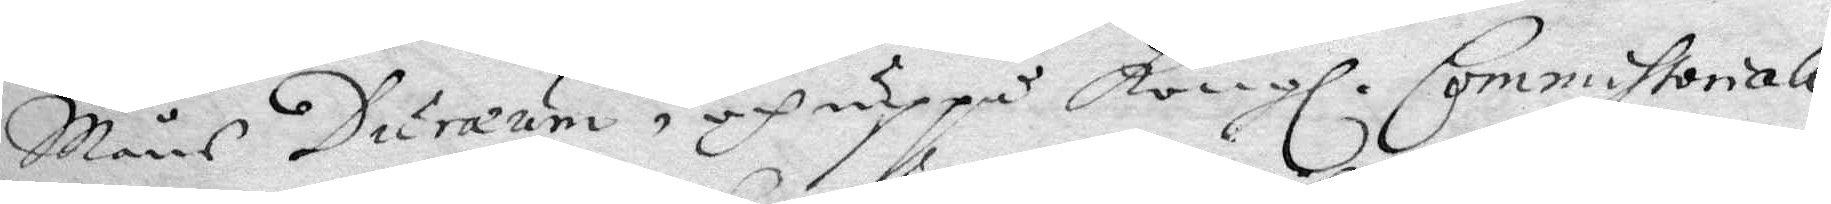Måns Duræum, och uppå Kongl. Commissorial¬
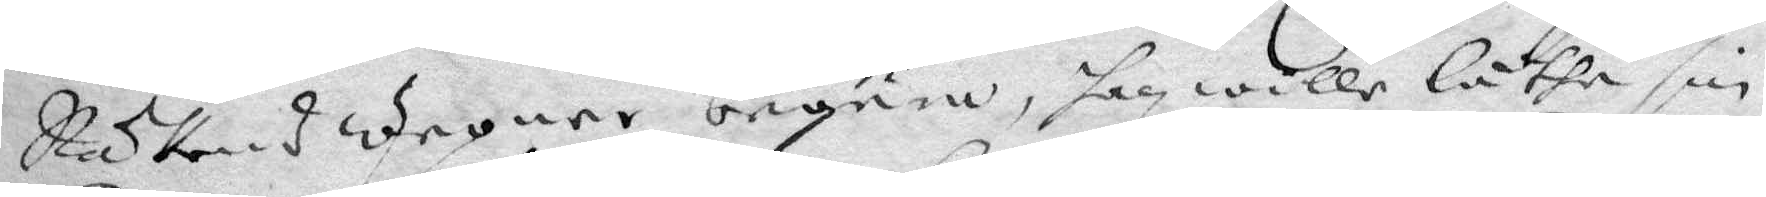Rättens wegner begära, han wille låtha sin
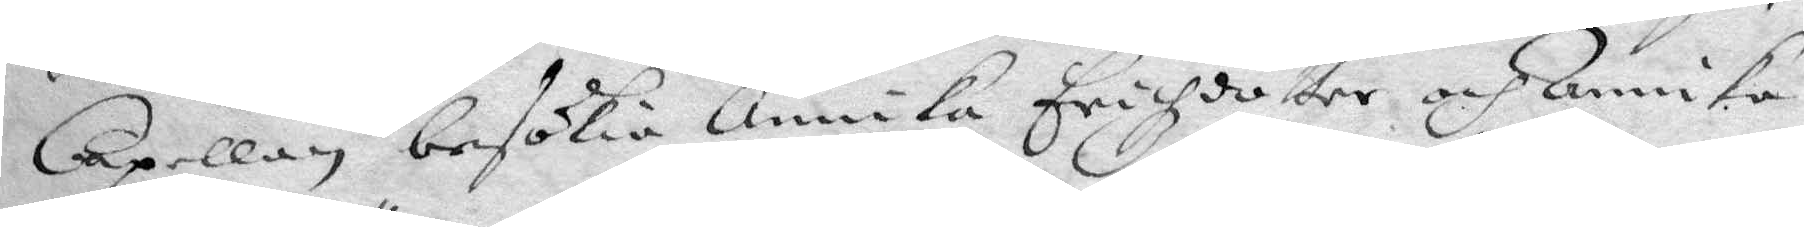Capellan besökia Annika Erichzdotter och Annika
